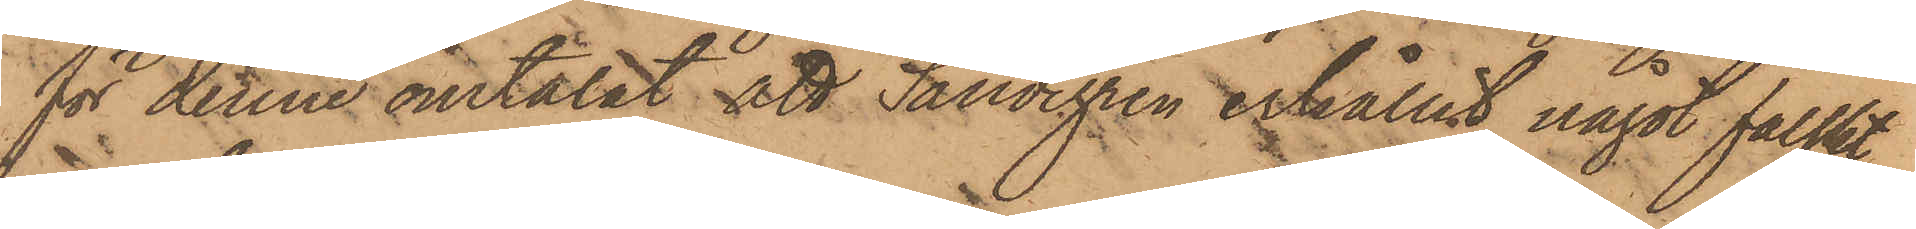för denne omtalat att Sandegren erhållit något falskt
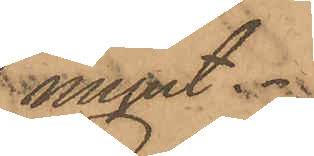mynt.
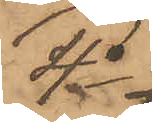4o
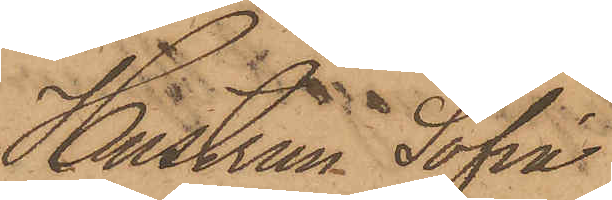Hustrun Sofia
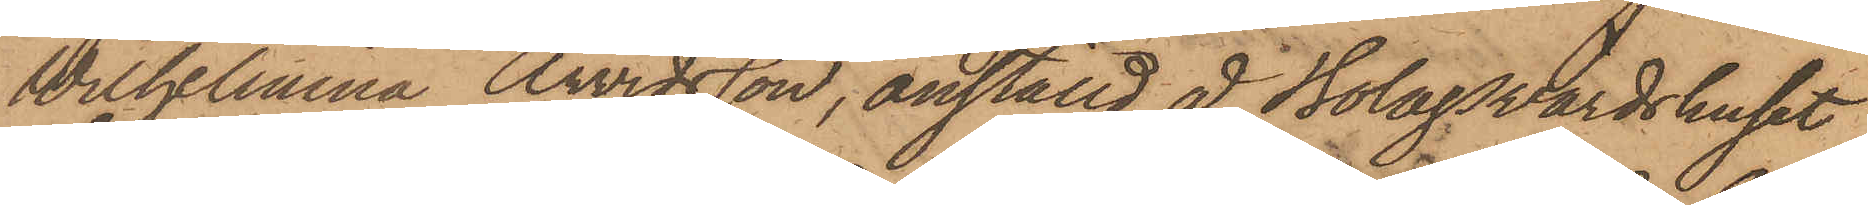Wilhelmina Arvidsson, anställd å Bolagsvärdshuset
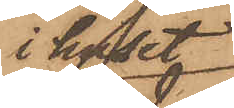i huset
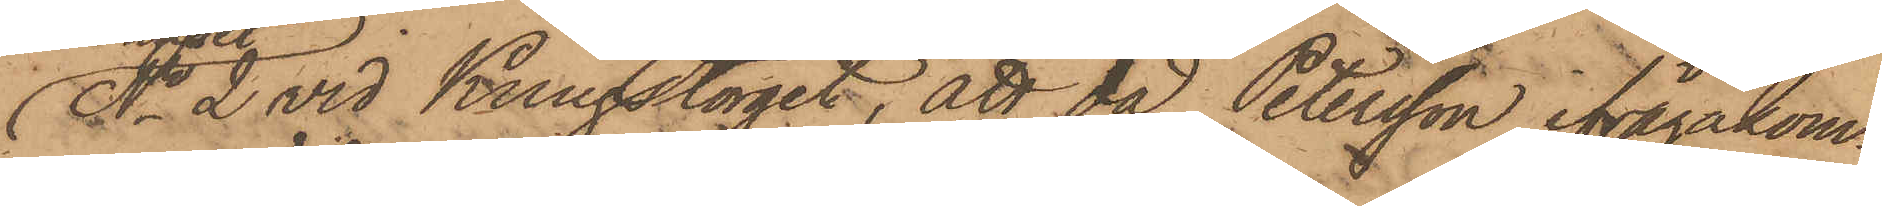No 2 vid Kungstorget, att då Petersson ifrågakom¬
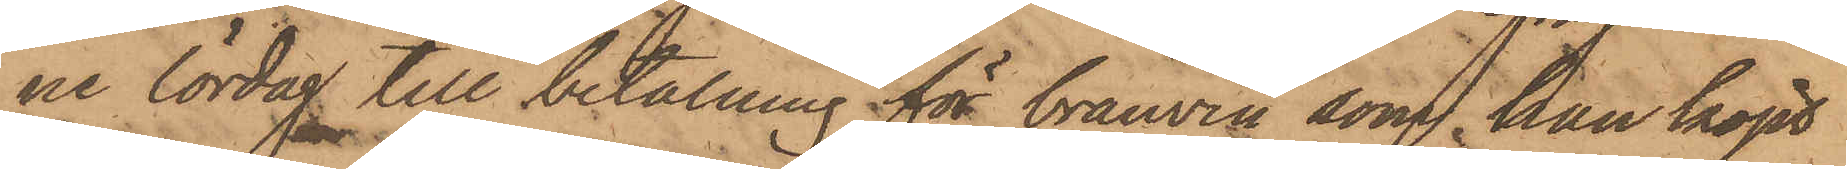ne lördag till betalning för bränvin, som han köpt
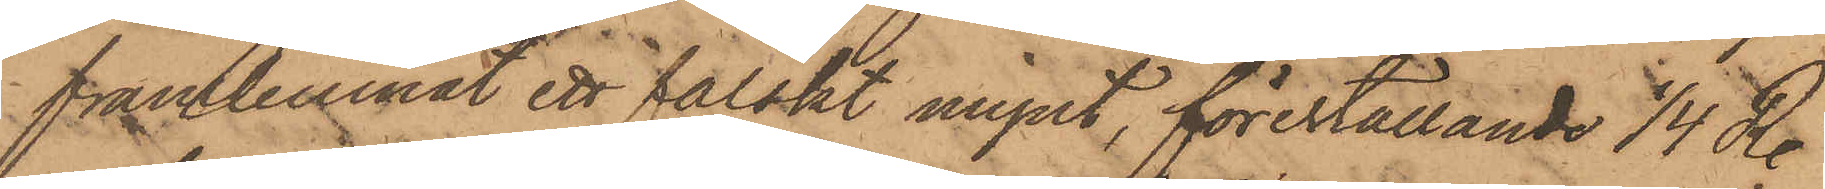framlemnat ett falskt mynt, föreställande 1/4 R.
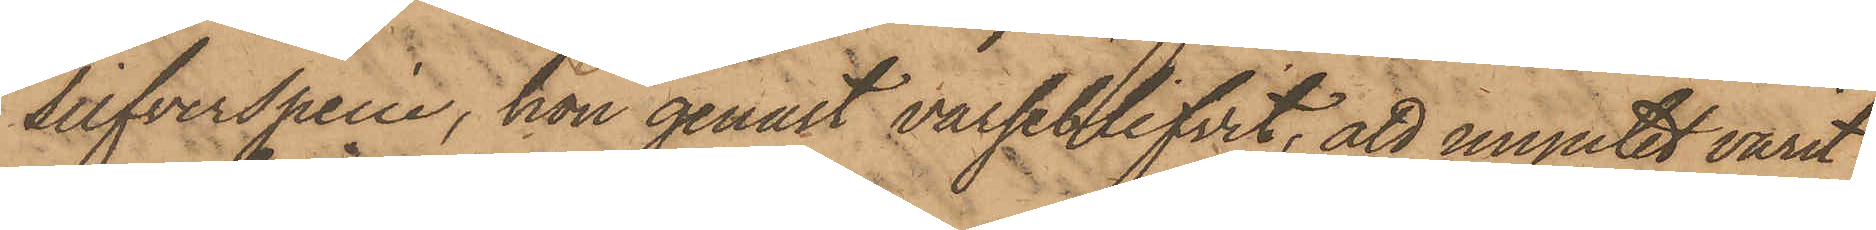Silfverspecie, hon genast varseblifvit, att myntet varit
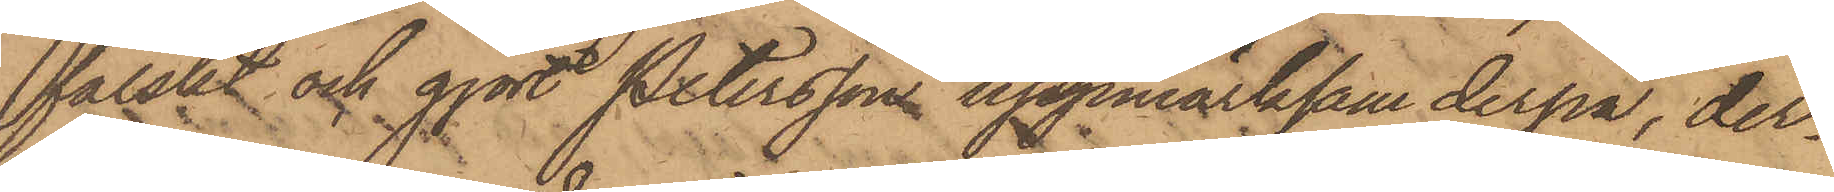falskt och gjort Petersson uppmärksam derpå, der¬
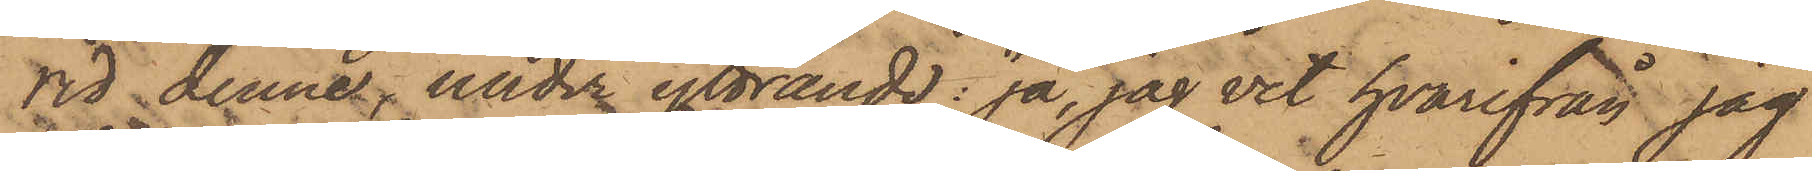vid denne, under yttrande: "ja, jag vet hvarifrån jag
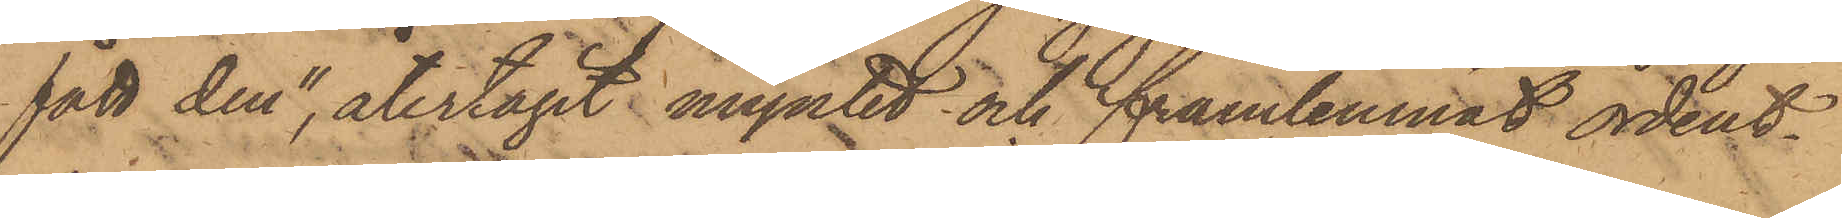fått den", återtagit myntet och framlemnat ordent¬
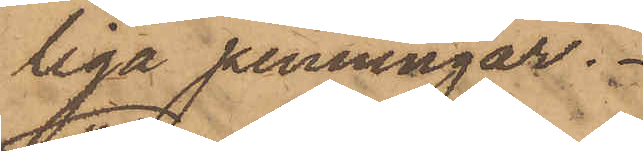liga penningar.
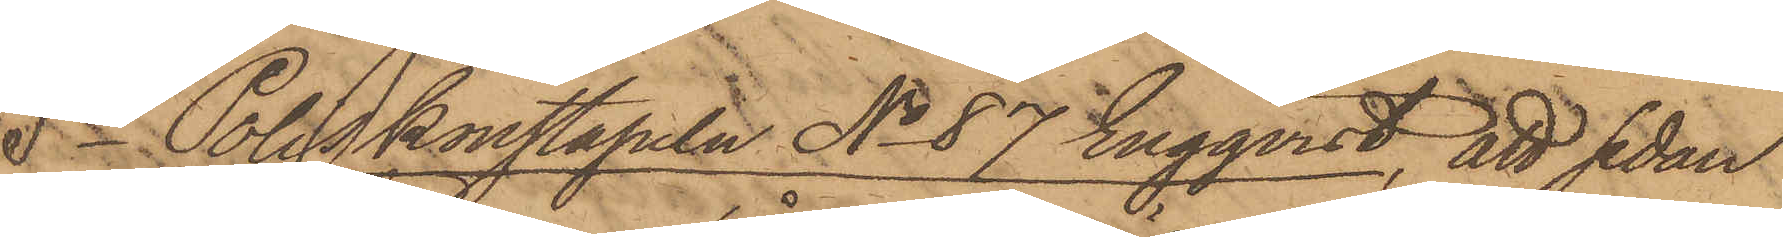5o Poliskonstapeln No 87 Engqvist, att sedan
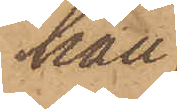han
